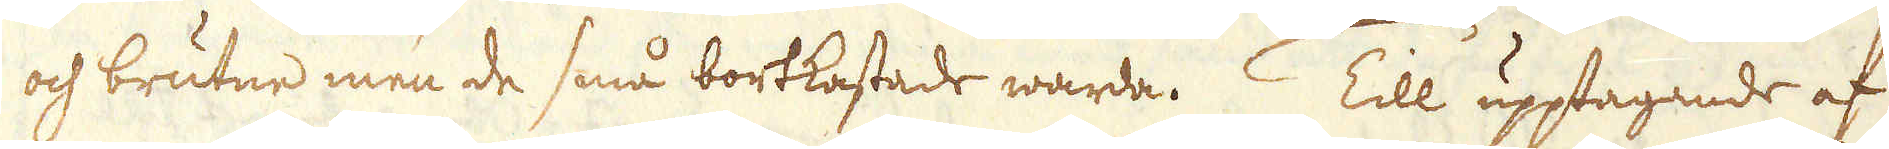och brutne men de små bortkastade warda. Till upptagande af
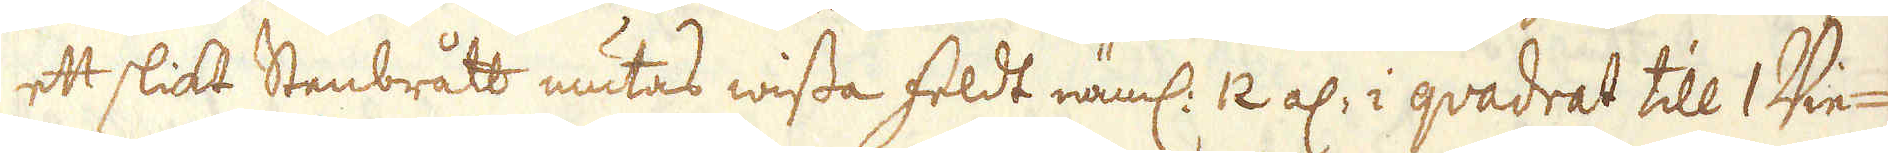ett slikt Stenbrått mutas wissa feldt näml: 12 al: i qvadrat till 1 Vie-
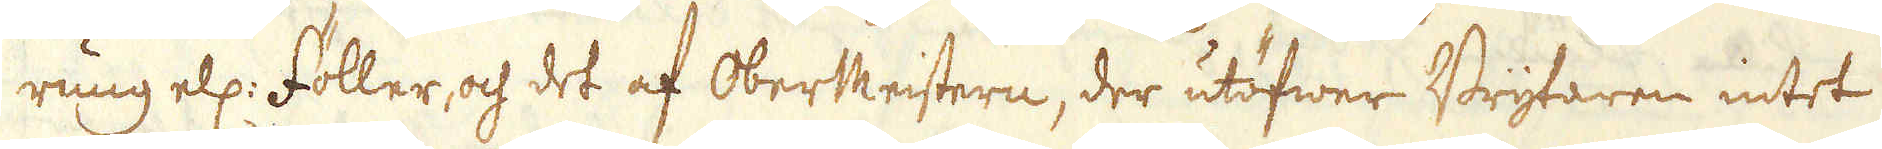rung ell: Föller, och det af OberMeistern, der utöfwer Brytaren intet
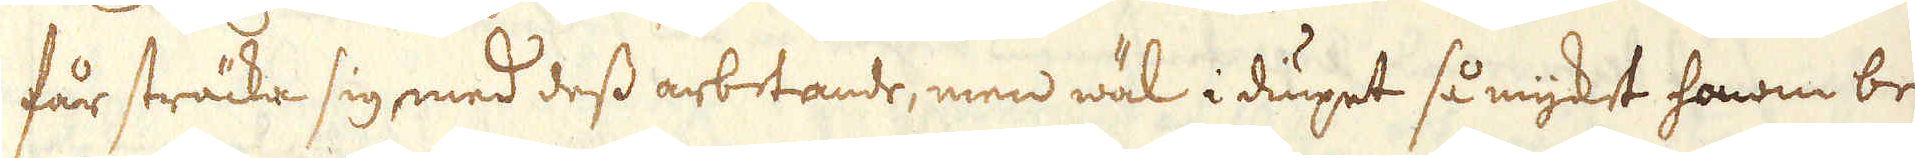får sträcka sig med dess arbetande, men wäl i dupet så mycket honom be-
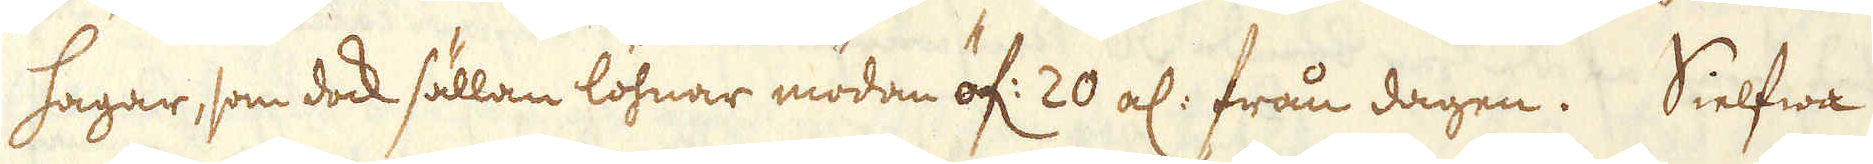hagar, som dock sällan löhnar mödan öf: 20 al: från dagen. Sielfwa
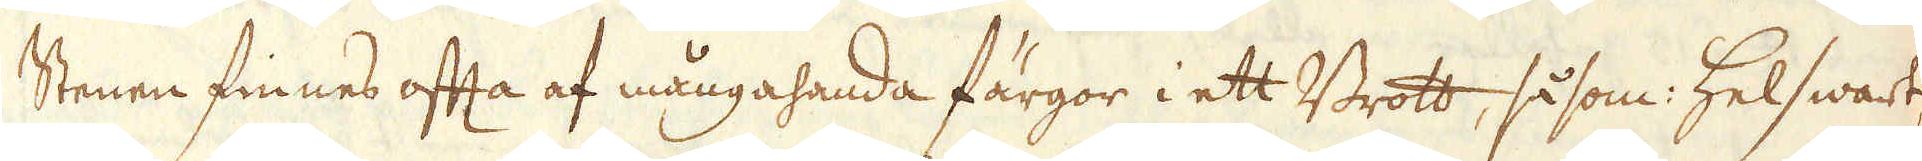Stenen finnes ofta af mångahanda färgor i ett Brott, såsom: Helswart,
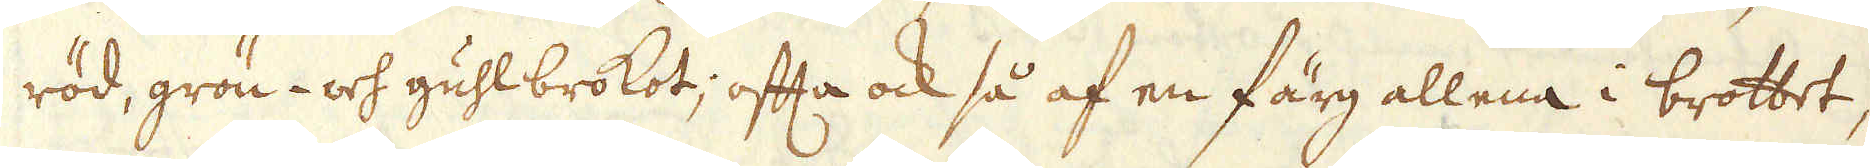röd, grön- och guhlbrokot, ofta ock så af en färg allena i brottet,
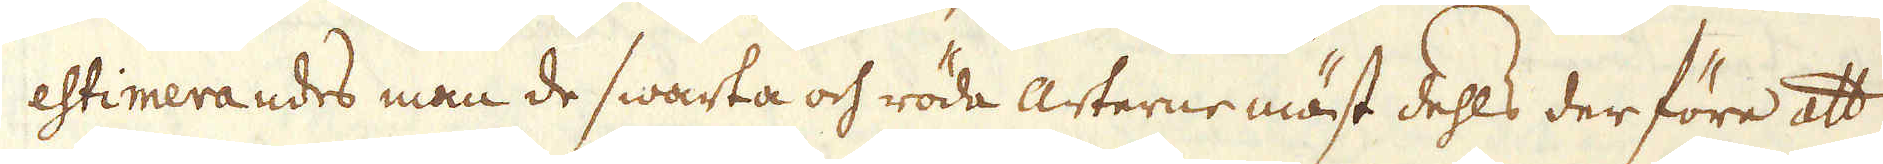estimerandes man de swarta och röda arterne mäst dehls der före att
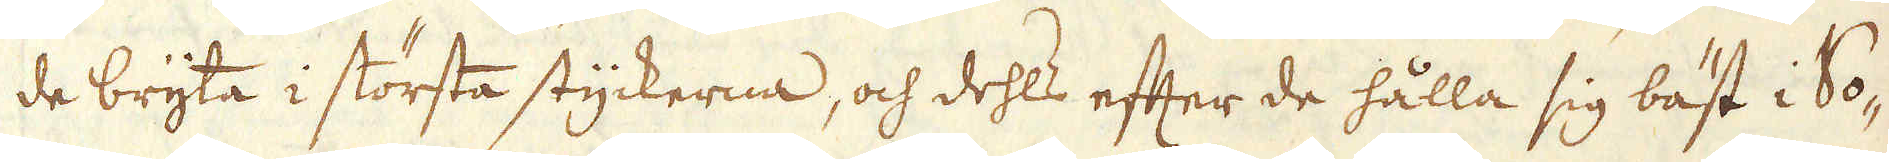de bryta i största styckerna, och dehls efter de hålla sig bäst i So-
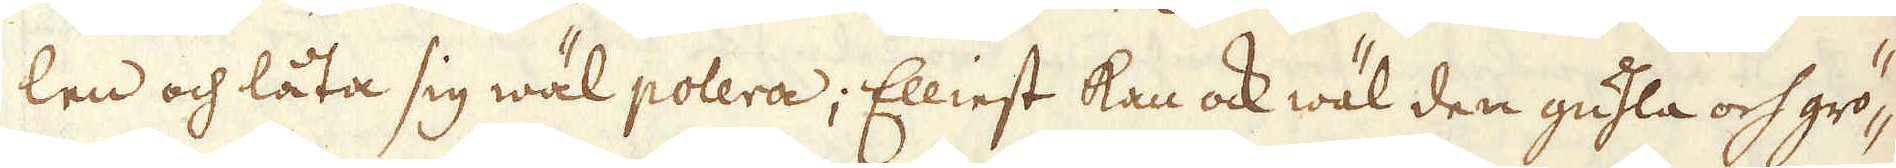len och låta sig wäl polera; Elliest kan ock wäl den guhla och grö-
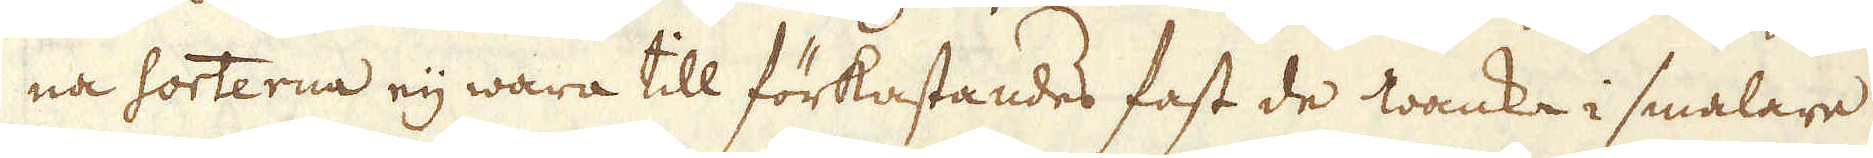na sorterna eij wara till förkastandes fast de wanka i smalare
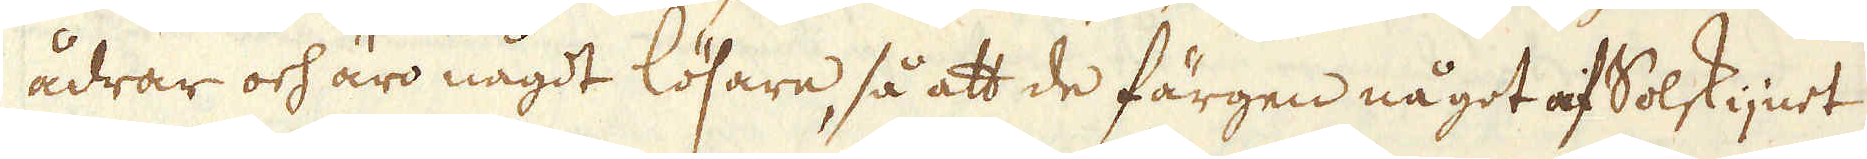ådrar och äro något lösare, så att de färgen något af Solskijnet
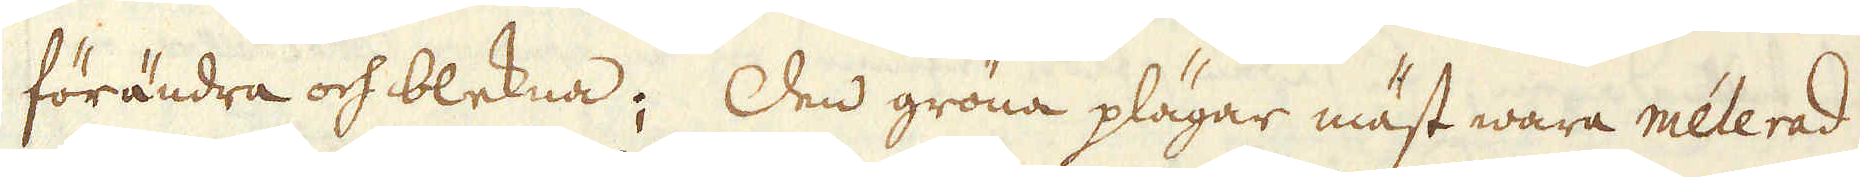förändra och blekna; Den gröna plägar mäst wara mélerad
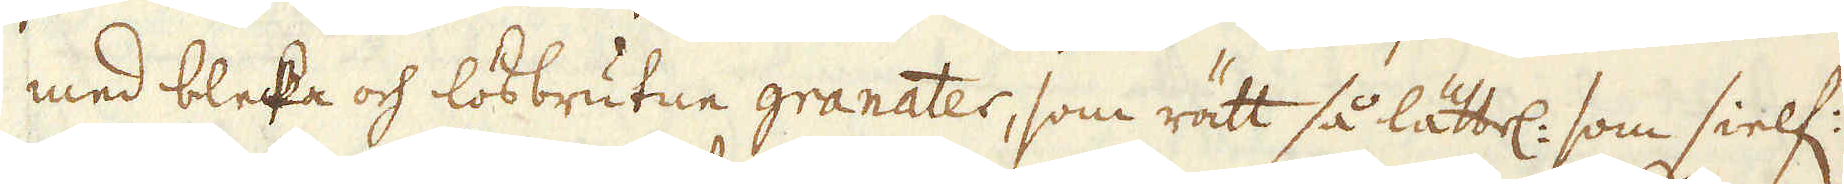med bleka och lösbrutne granater, som rätt så lättel: som sielf:
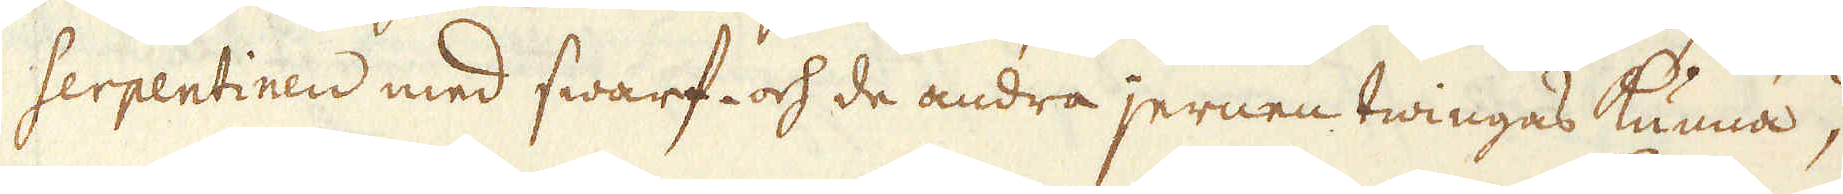Serpentinen med swarf- och de andra jernen twingas kunna,
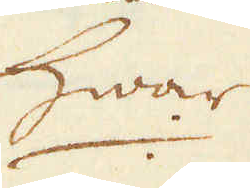hwar
